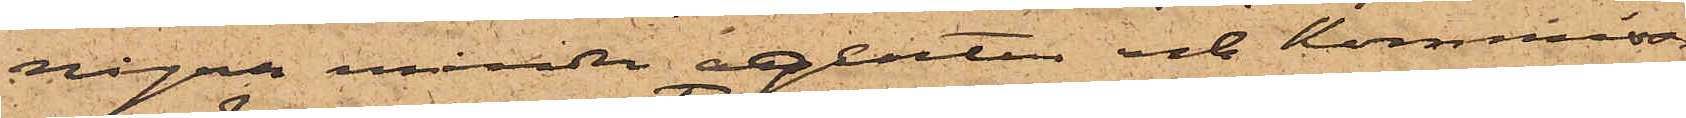några mindre agentur och Kommissions¬
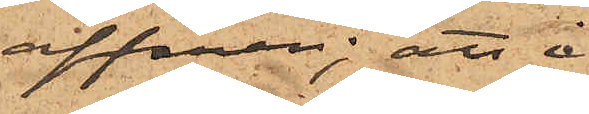affärer; att i
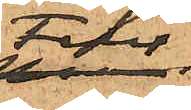Febr
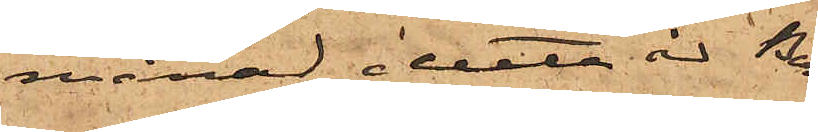månad detta år Bernts¬
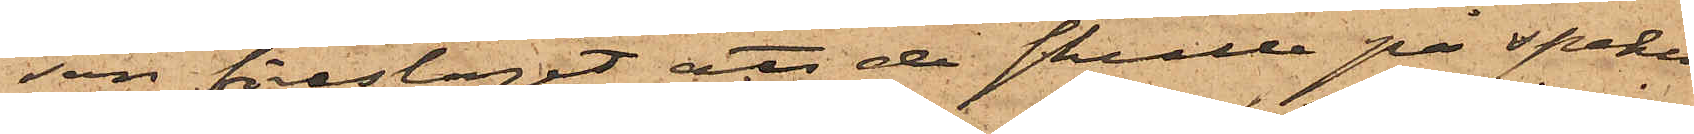son föreslagit att de skulle på speku¬
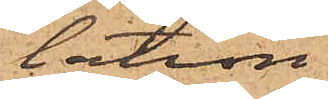tation
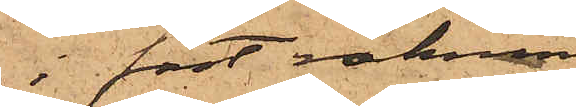i fast räkning
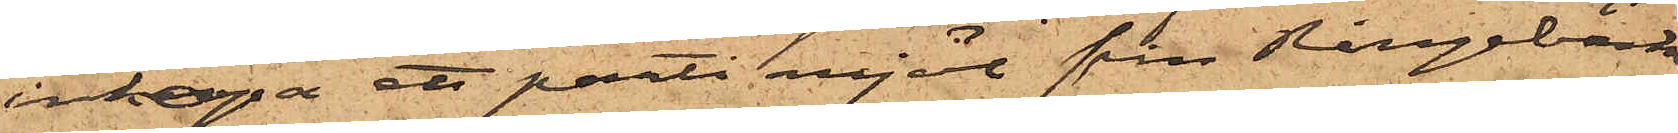inköpa ett parti mjöl från Ringebäcks
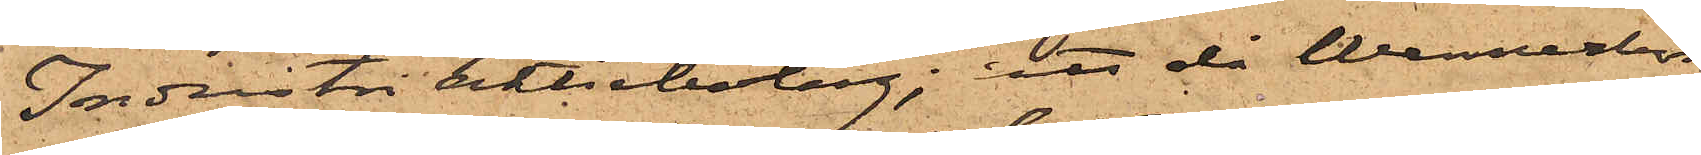Industri Aktiebolag; att då Wennerbom
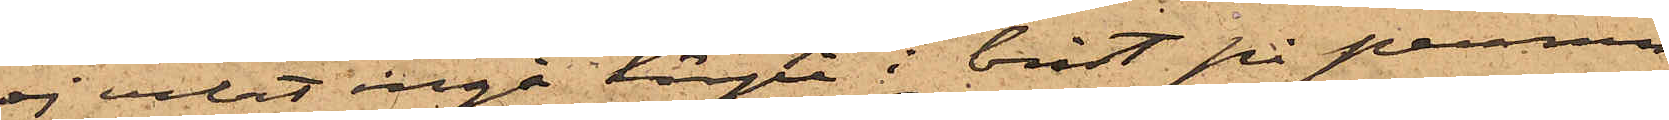ej velat ingå härpå  i brist på pennin¬
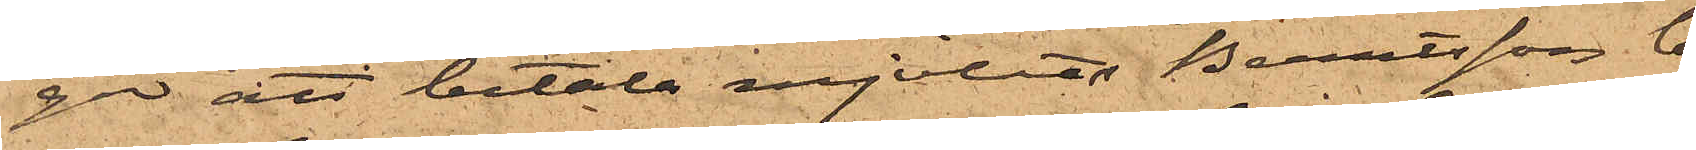ga att betala mjölet Berntsson lof¬
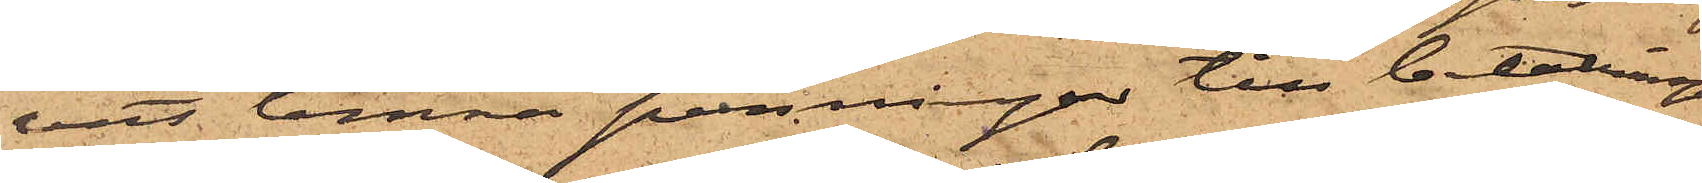vat lemna penningar till betalningen
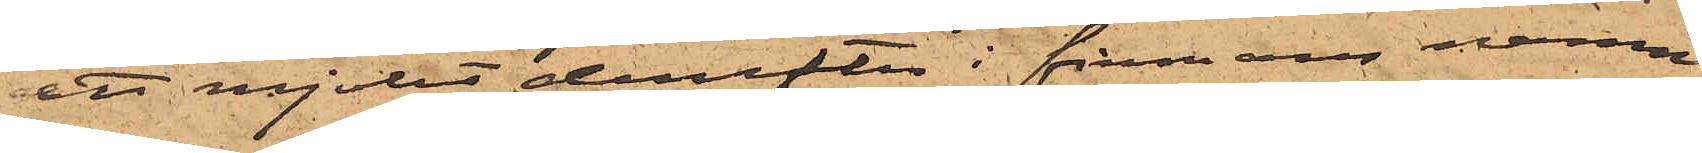att mjölet derefter i firmans namn
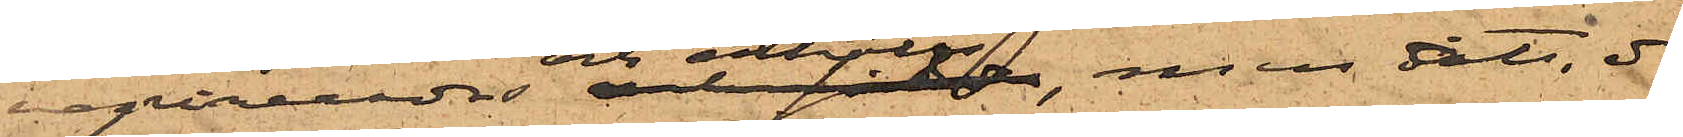reqvirerades och erhölls, men att, då
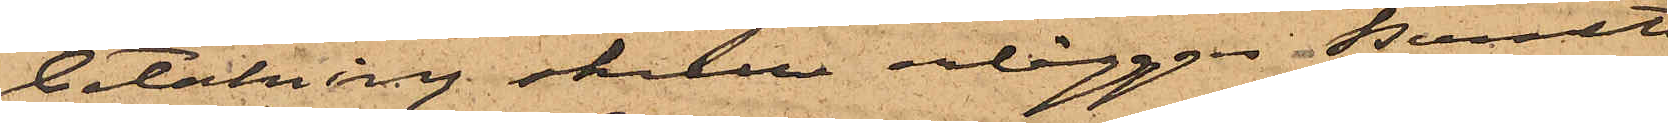betalning skulle erläggas Berndts¬
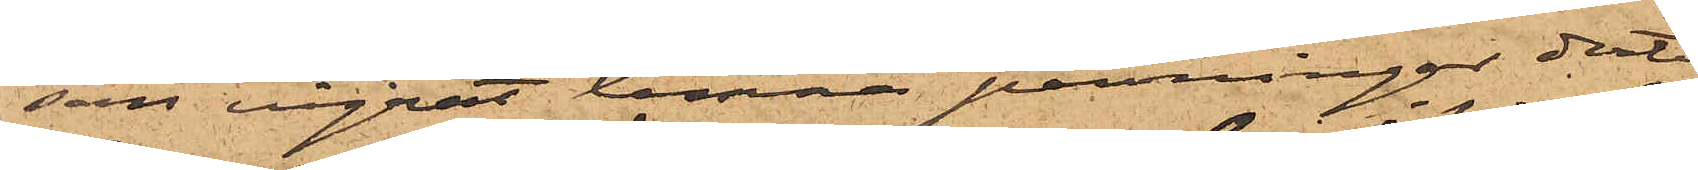son vägrat lemna penningar dertill
